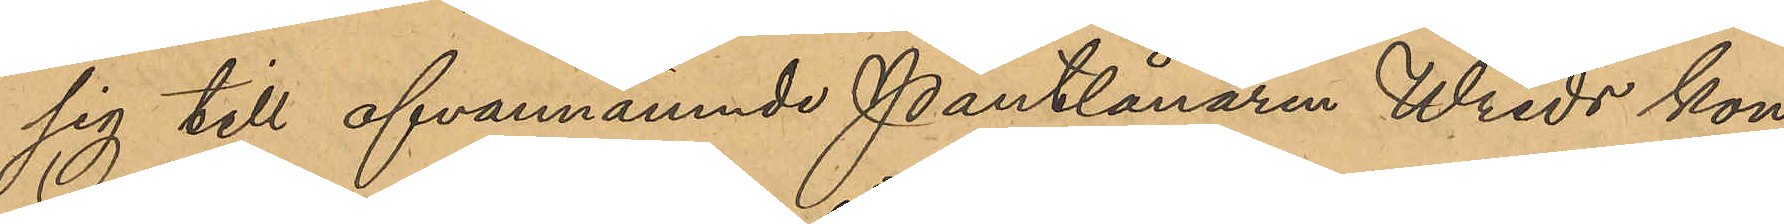sig till ofvannämnde Pantlånaren Wreds kon¬
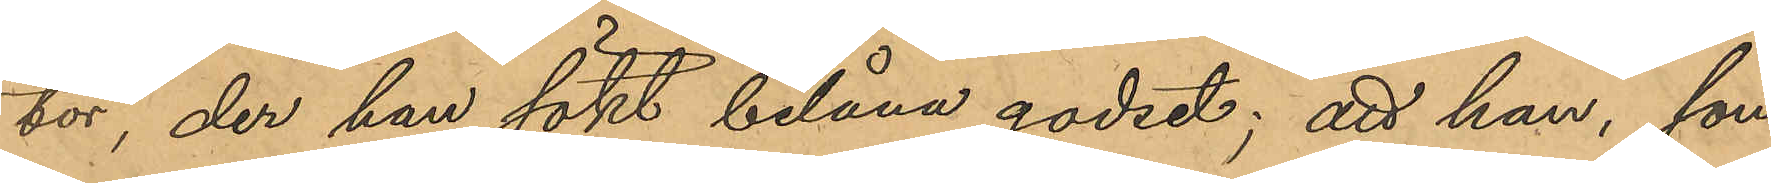tor, der han sökt belåna godset; att han, som
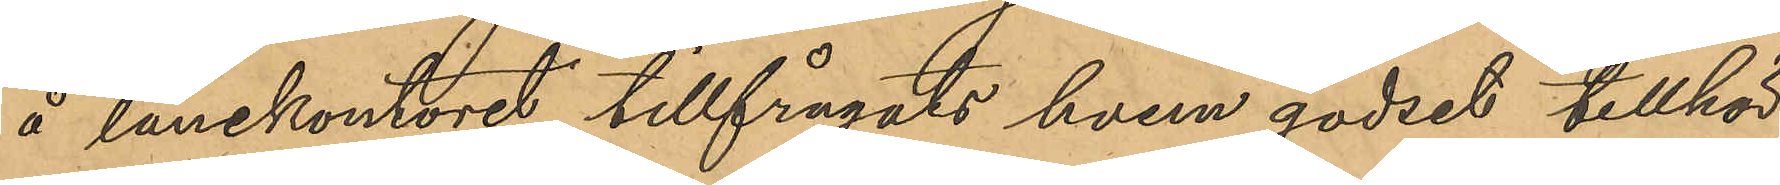å lånekontoret tillfrågats hvem godset tillhör¬
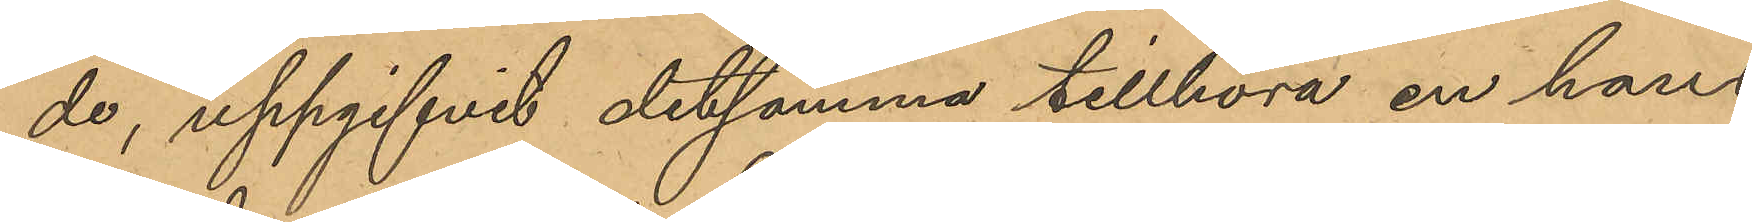de, uppgifvit detsamma tillhöra en hans 
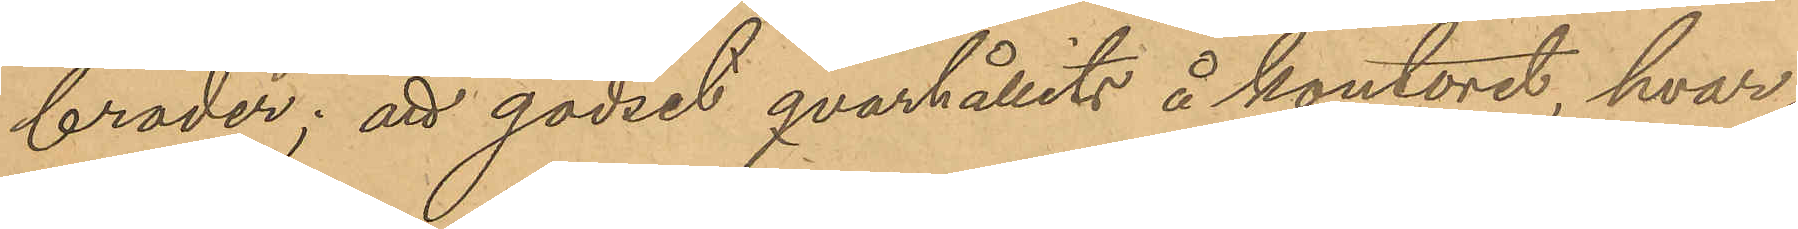broder; att godset qvarhållits å kontoret, hvar¬
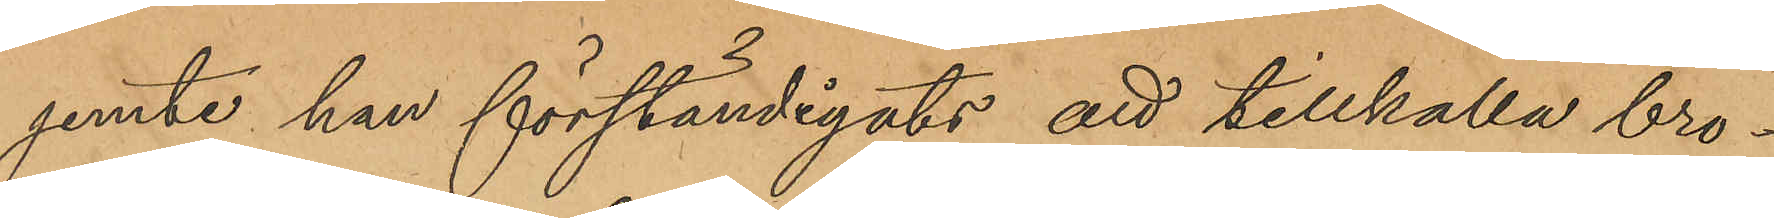jemte han förständigats att tillkalla bro¬
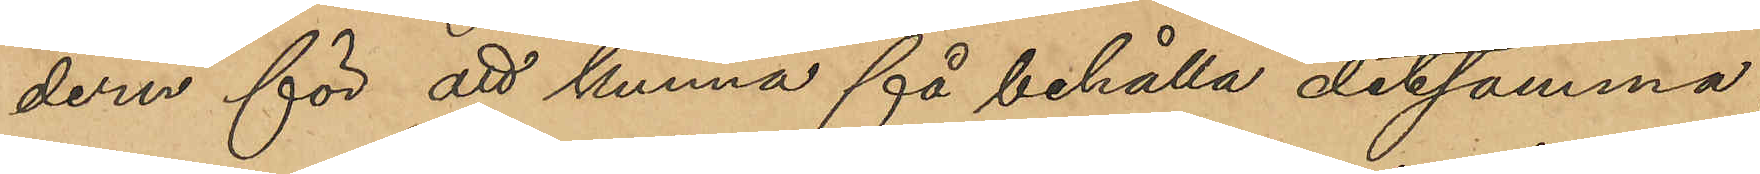dern för att kunna få behålla detsamma;
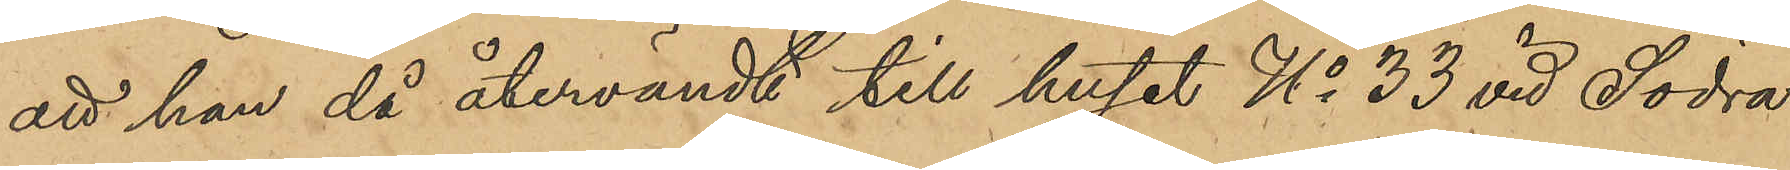att han då återvändt till huset No 33 vid Södra
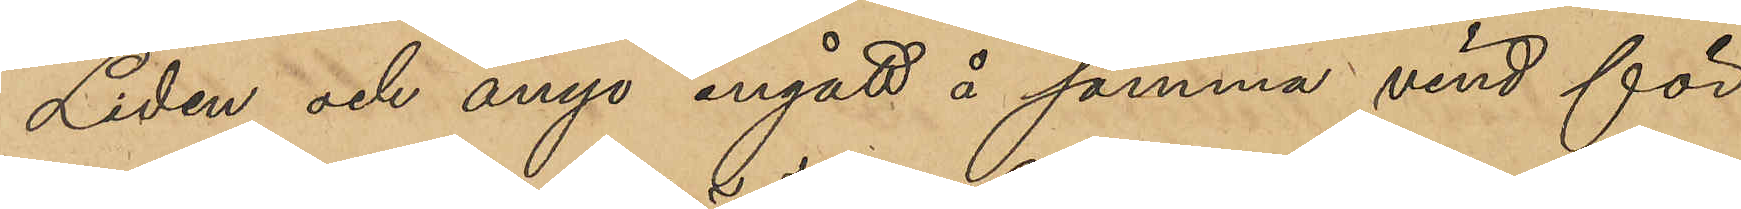Liden och ånyo ingått å samma vind för
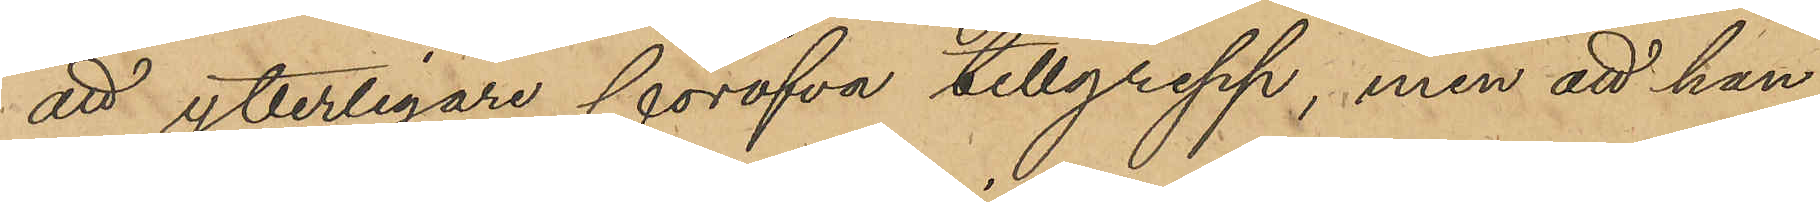att ytterligare föröfva tillgrepp, men att han
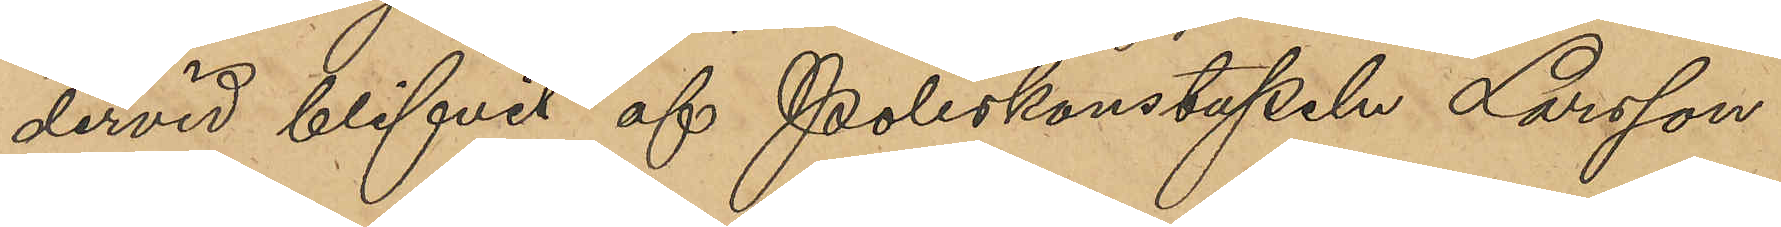dervid blifvit af Poliskonstapeln Larsson
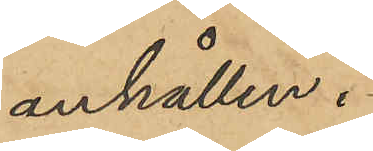anhållen.
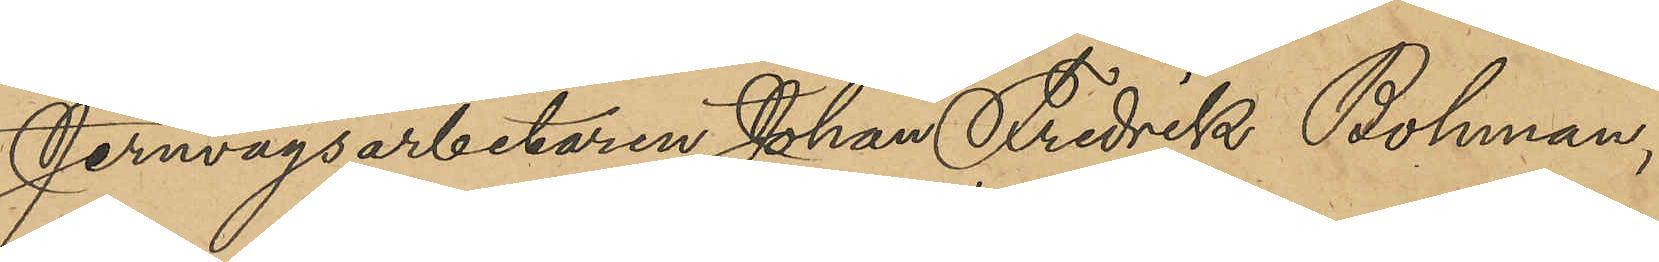Jernvägsarbetaren Johan Fredrik Bohman,
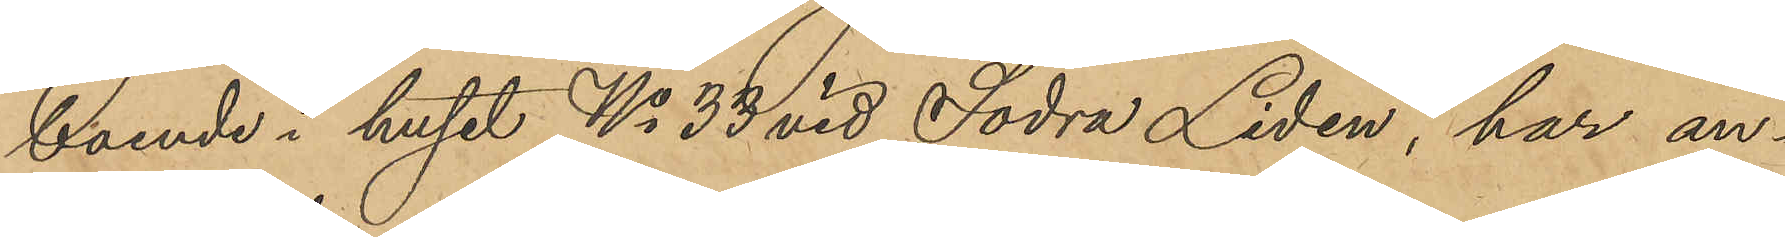boende i huset No 33 vid Södra Liden, har an¬
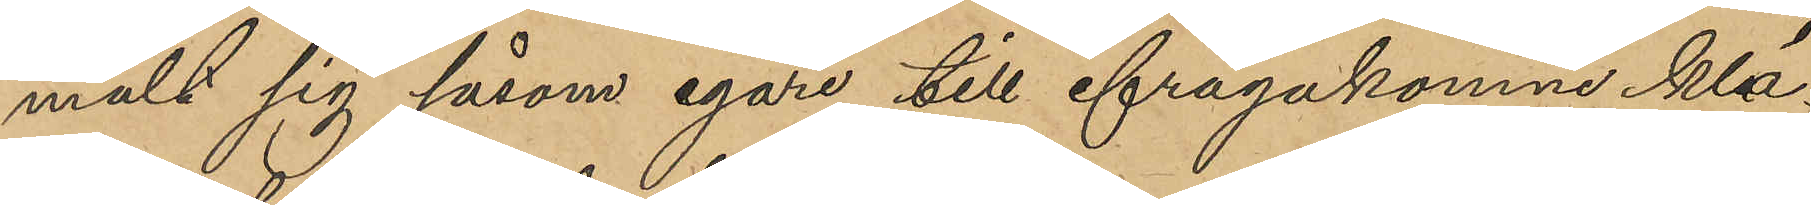mält sig såsom egare till ifrågakomne klä¬
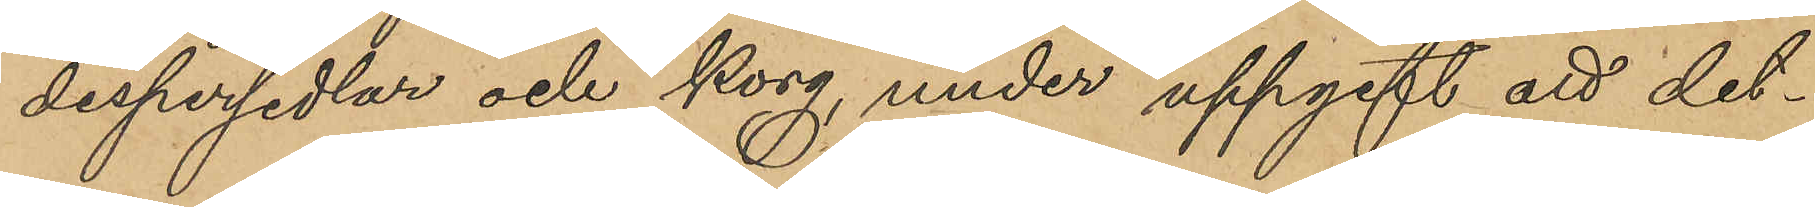despersedlar och korg, under uppgift at det¬
